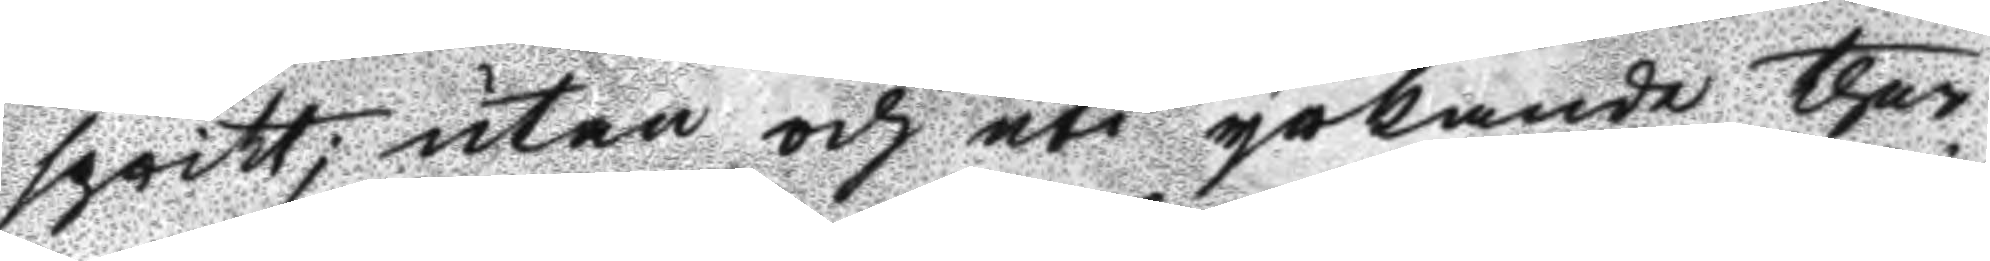spritt; utan och uti yrkande ther
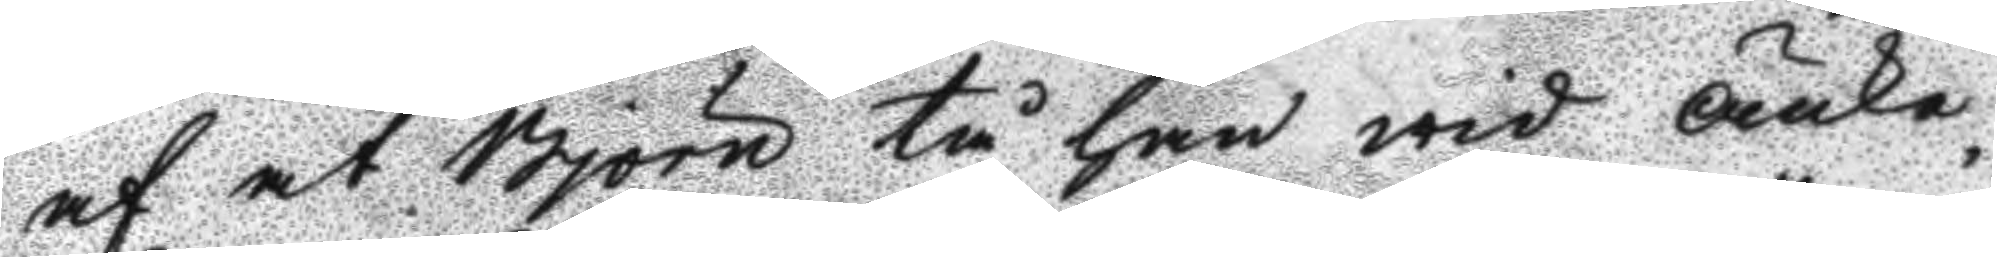af at Björn tå han wid Änke¬
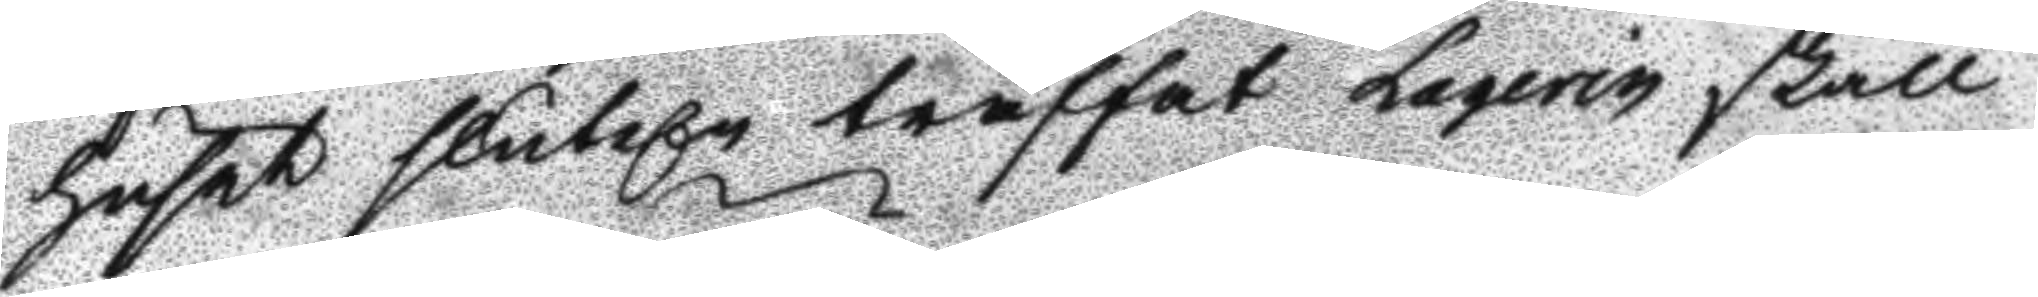huset sluteln träffat Laqerin skall
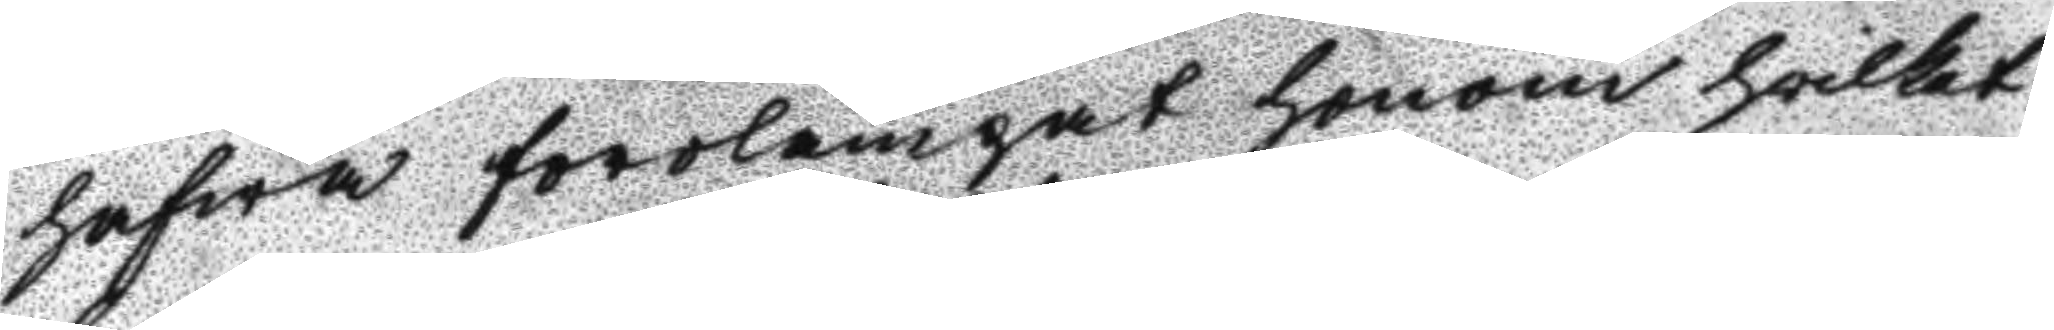hafwa förolämpat honom hvilket
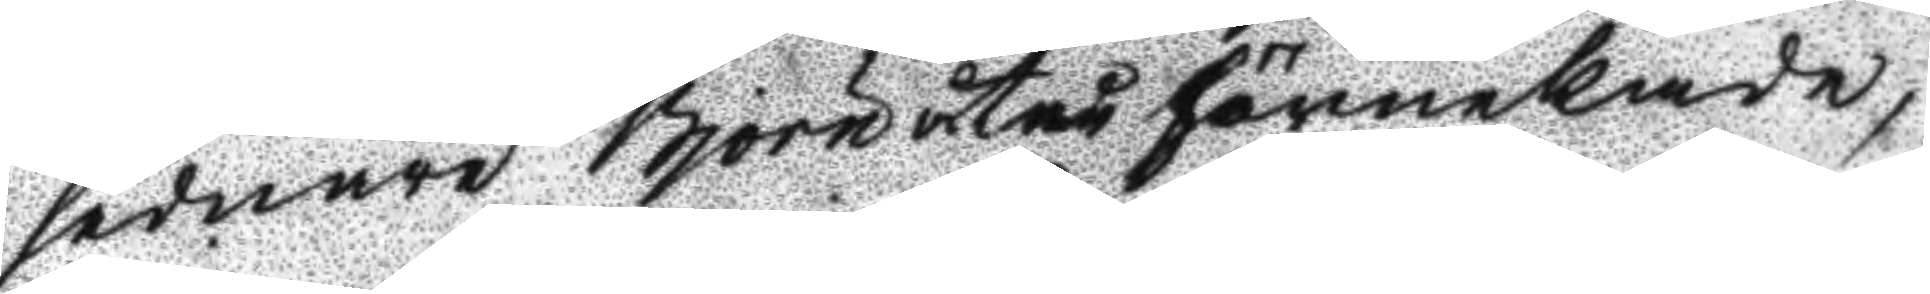sednare Björn åter förnekande,
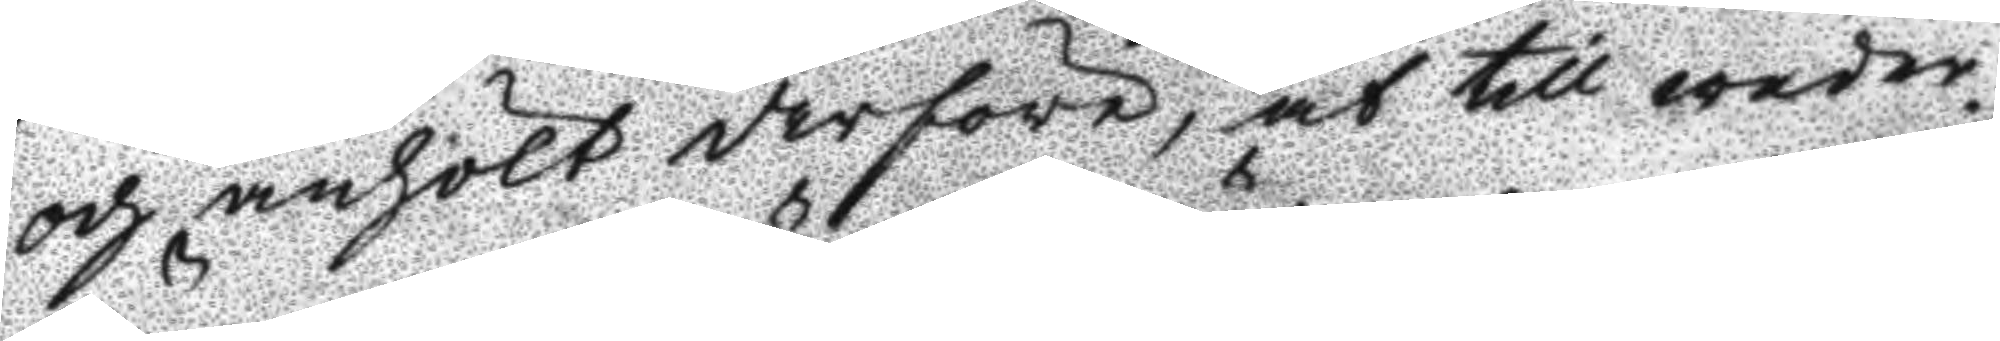och anhölt derföre, at till weder¬
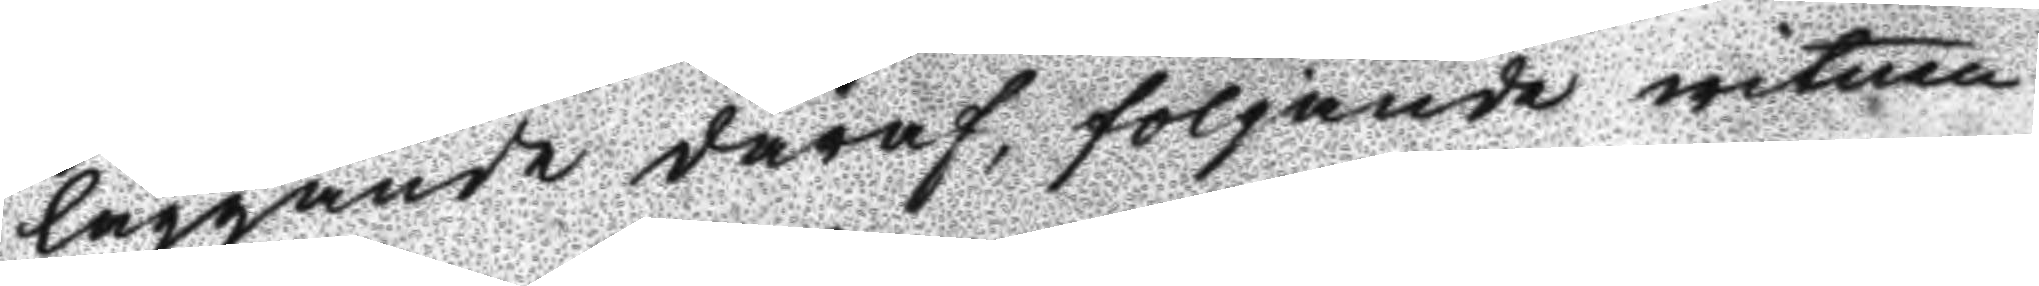läggande däraf, följande witnen
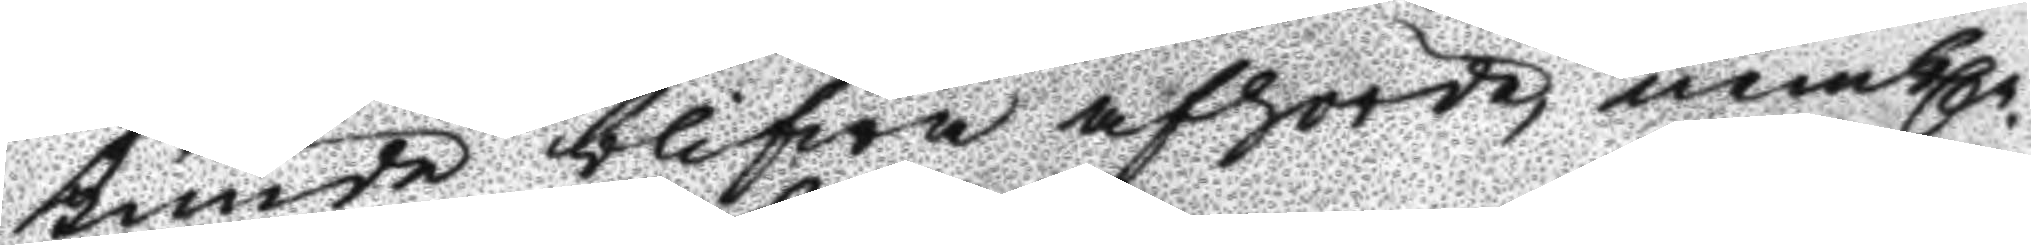kunde blifwa afhörde, nembln
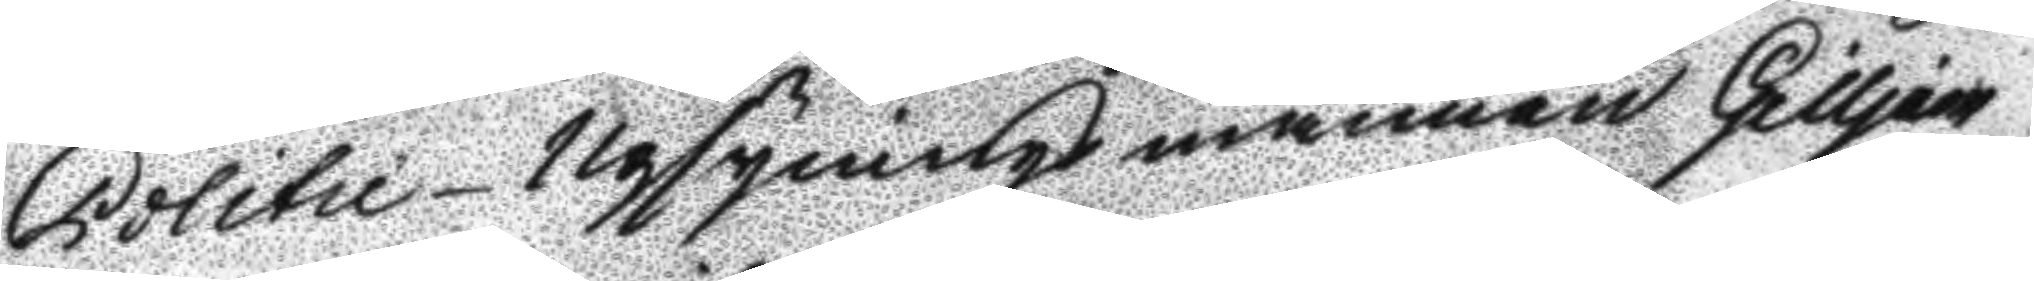Politie-Upsyningsmannen Gilljam,
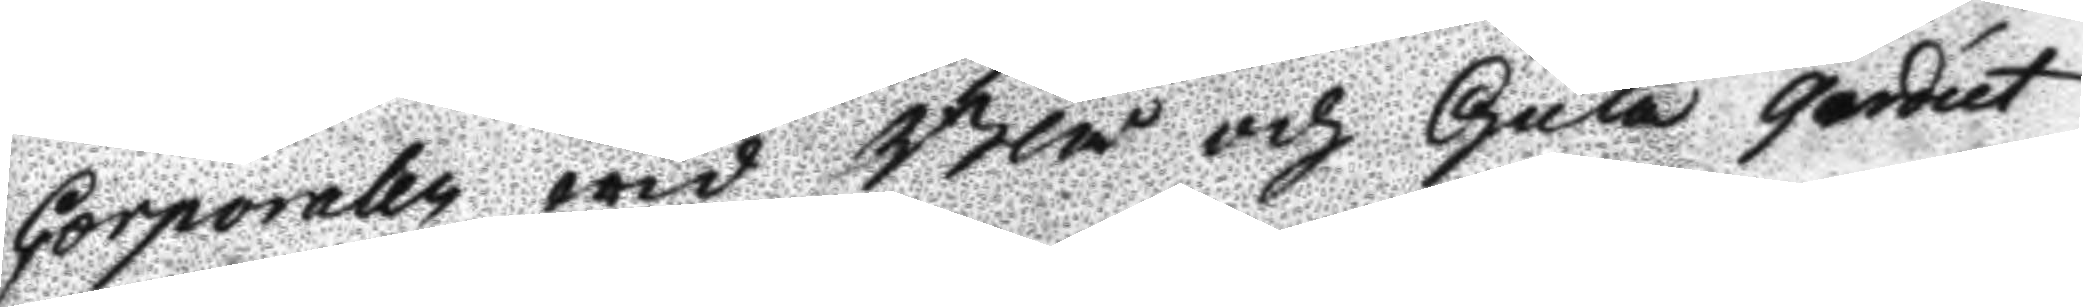Corporalen wid Blå och Gula Gardet
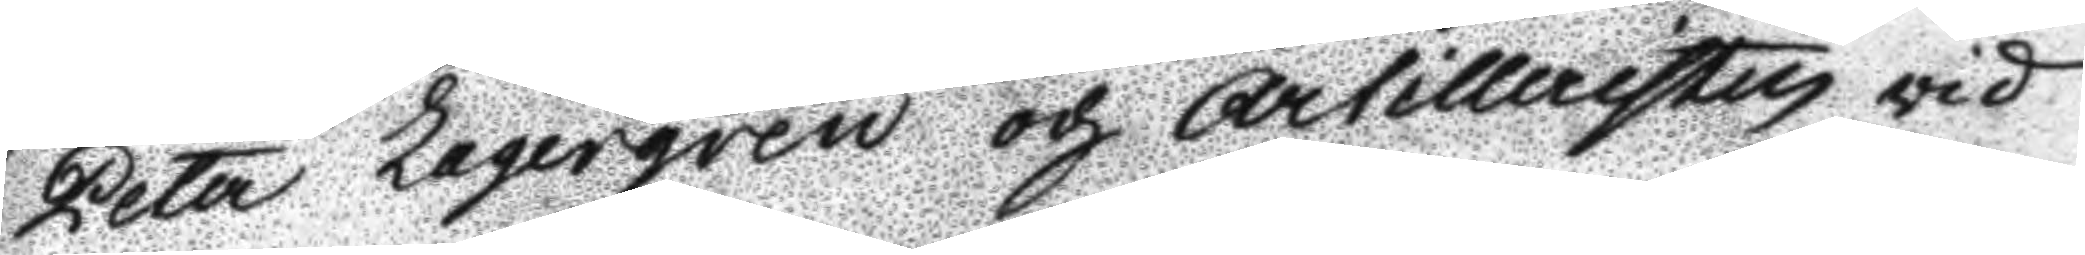Peter Lagergren och Artilleristen vid
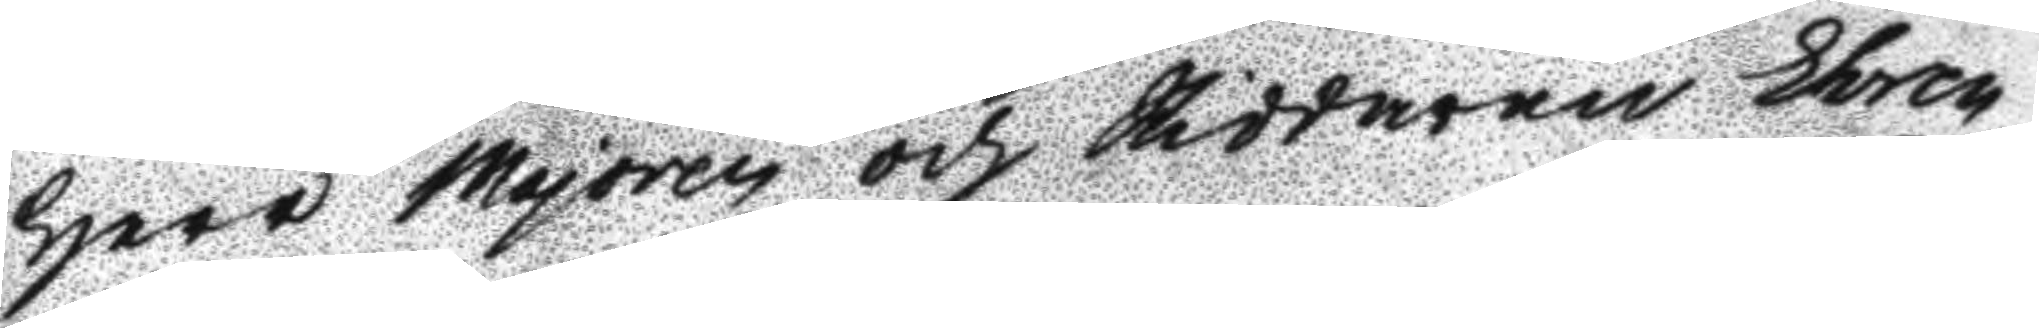Herr Majoren och Riddaren Ehren¬
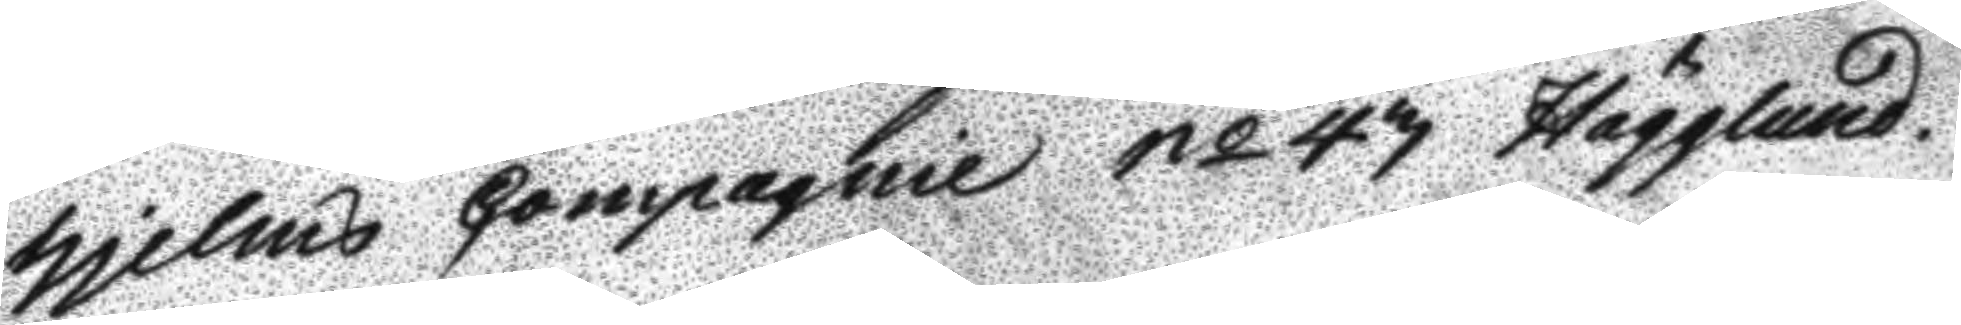hjelms Compagnie No 43 Hägglund.
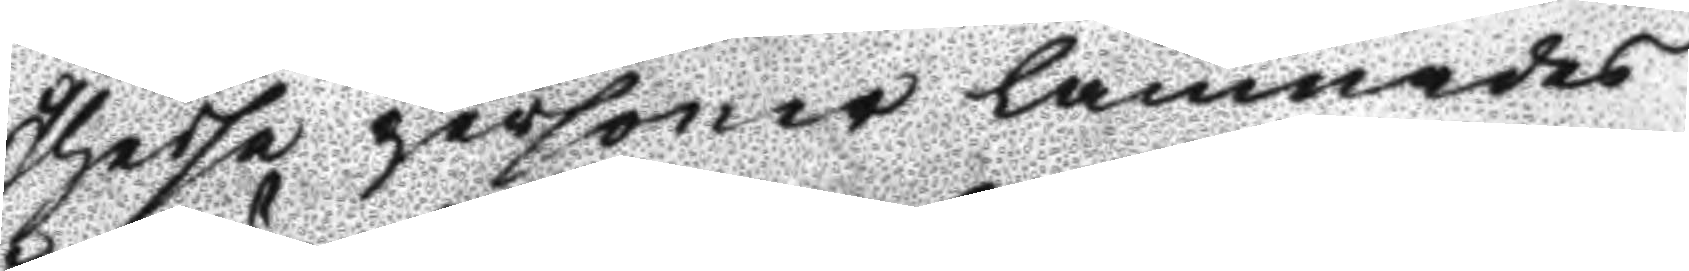Dhesse personer lämnades
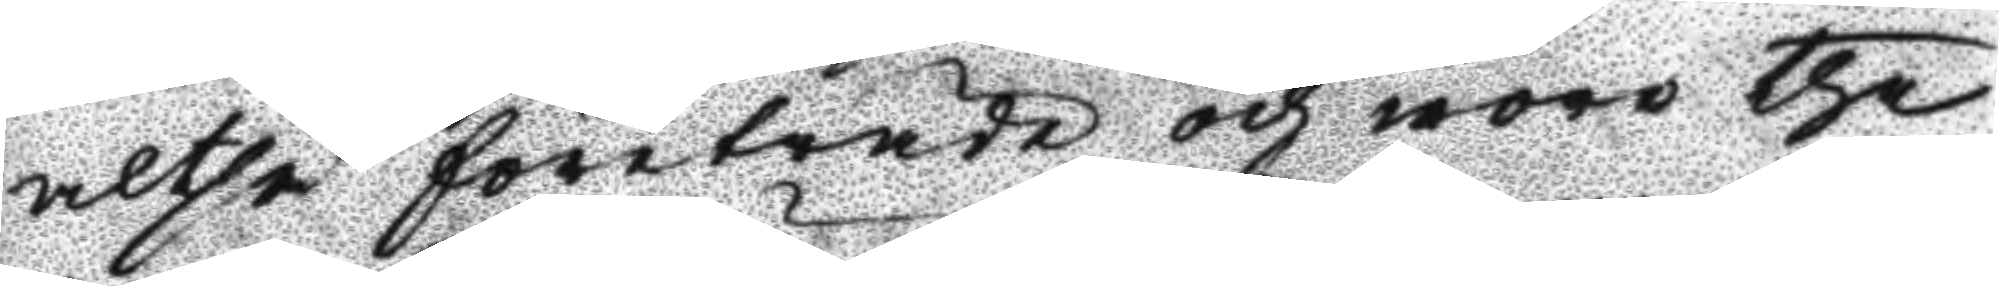altså företräde och woro the
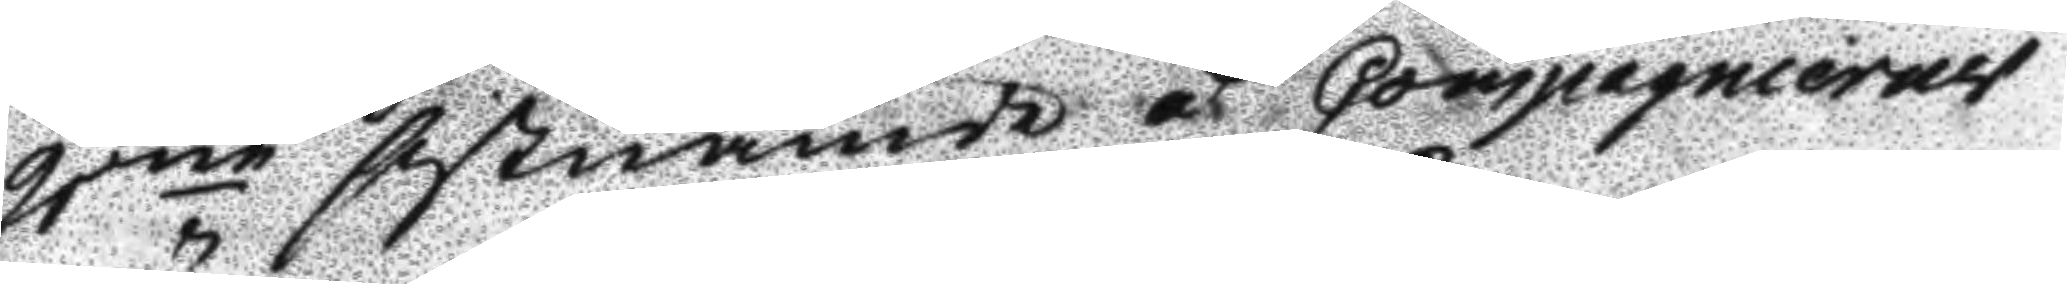2ne sistnämde å Compagnierets
